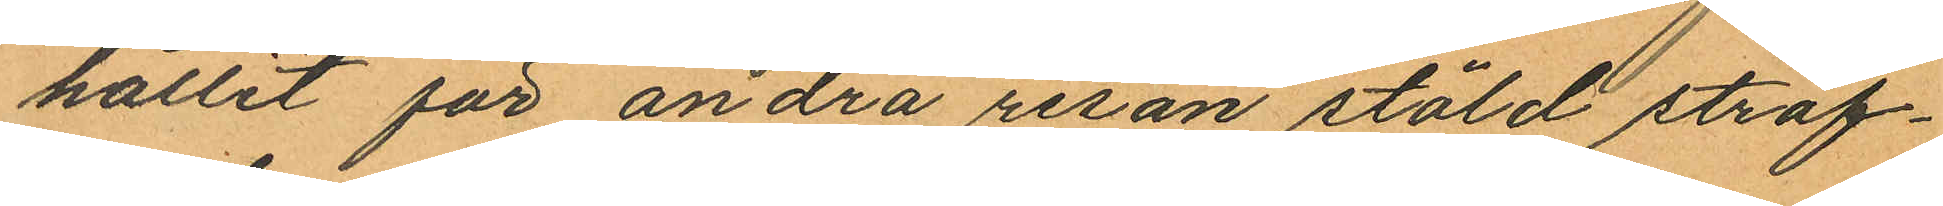hållit för andra resan stöld straf¬
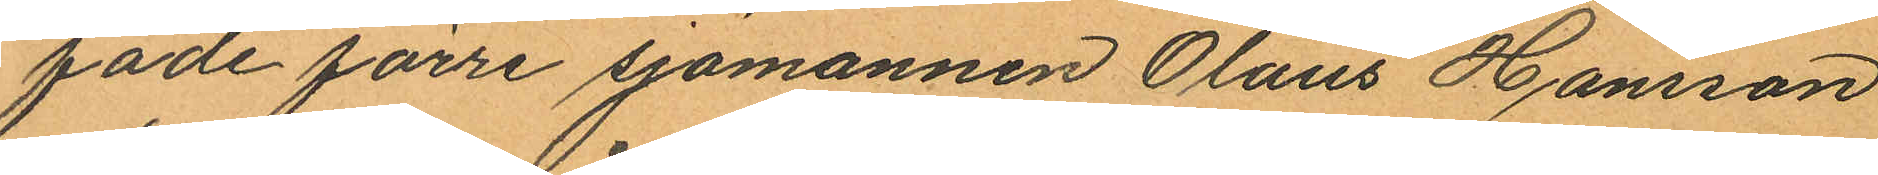fade förre sjömannen Olaus Hansson
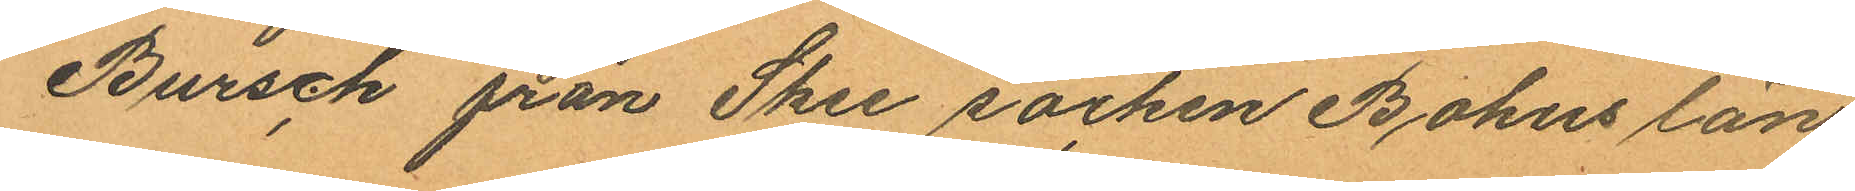Bursch från Skee socken Bohus län
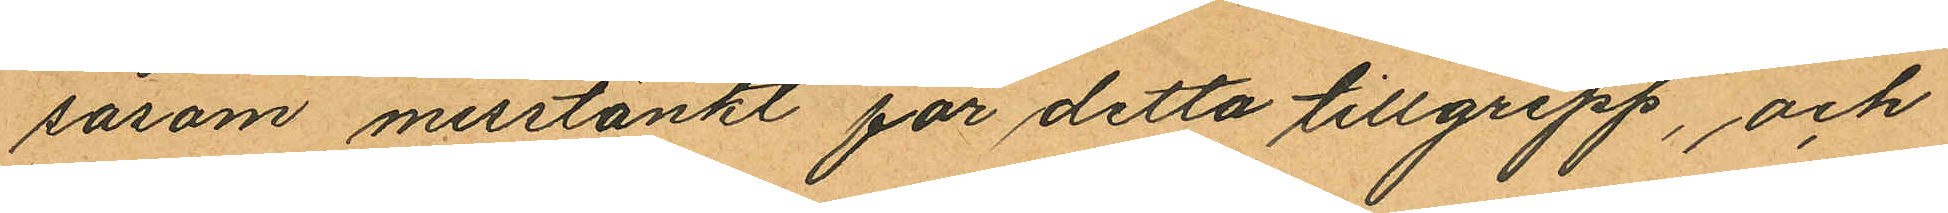såsom misstänkt för detta tillgrepp, och
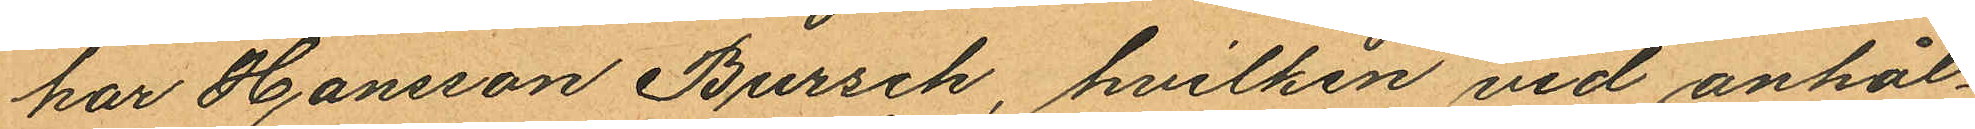har Hansson Bursch, hvilken vid anhål¬
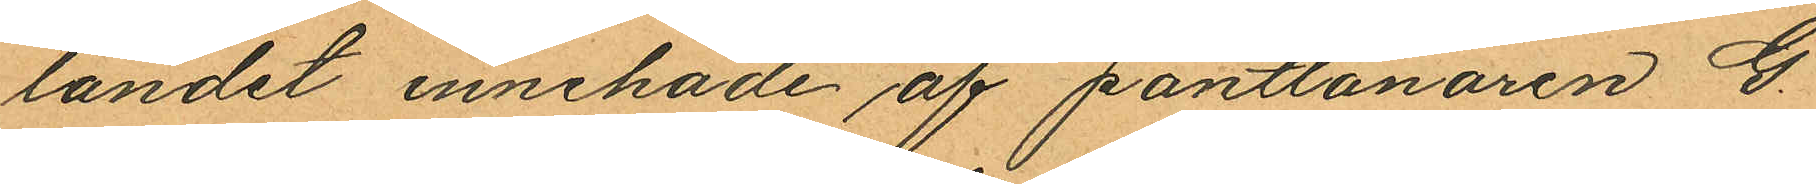landet innehade af pantlånaren G.
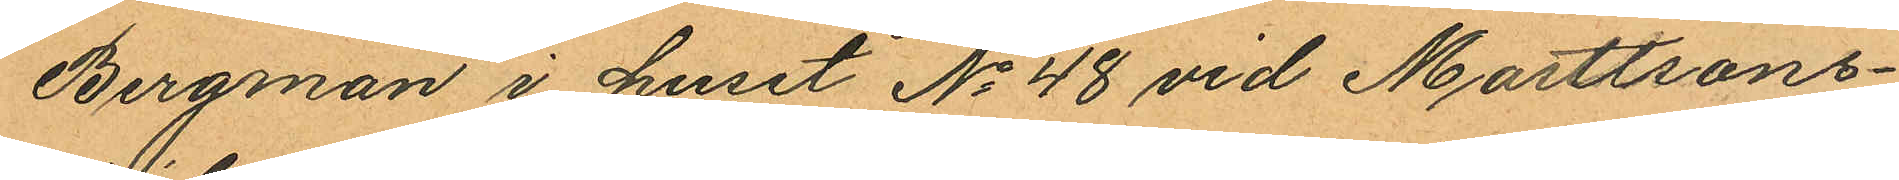Bergman i huset No 48 vid Masttons¬
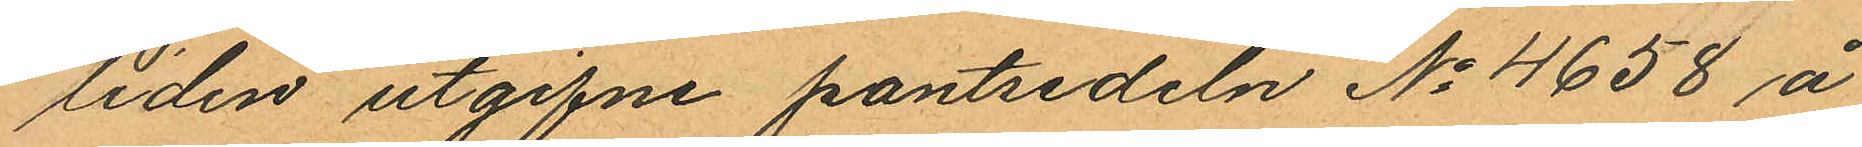liden utgifne pantsedeln No 4658 å
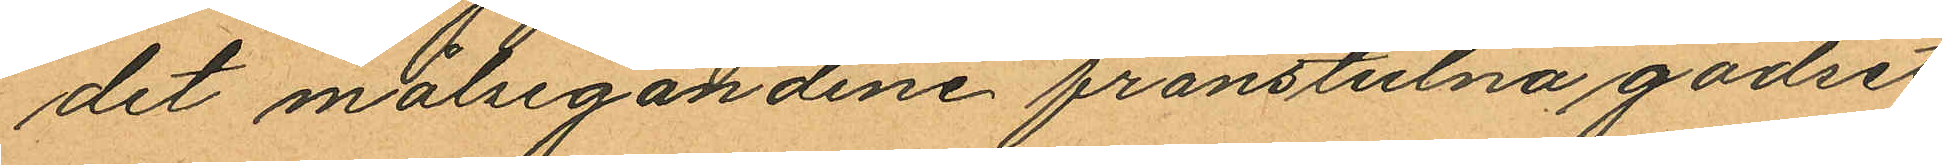det målsegandene frånstulna godset
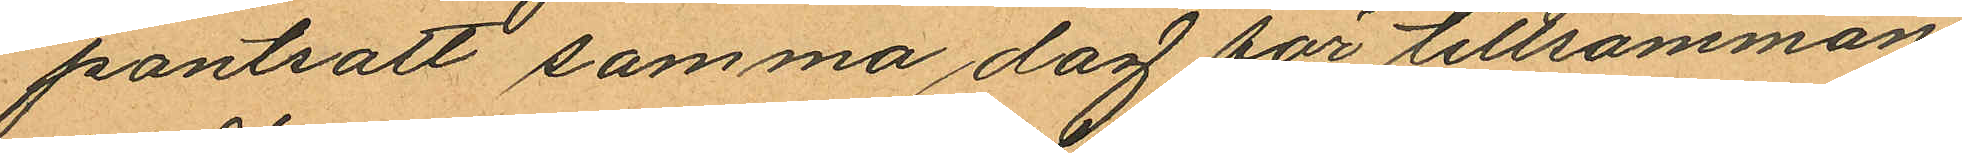pantsatt samma dag för tillsammans
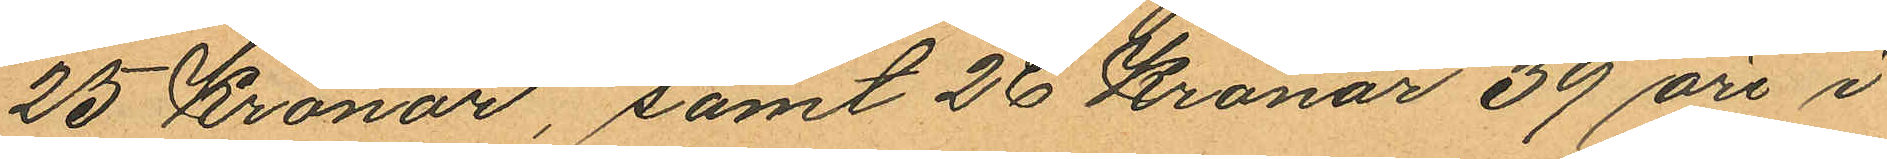25 Kronor, samt 26 Kronor 39 öre i
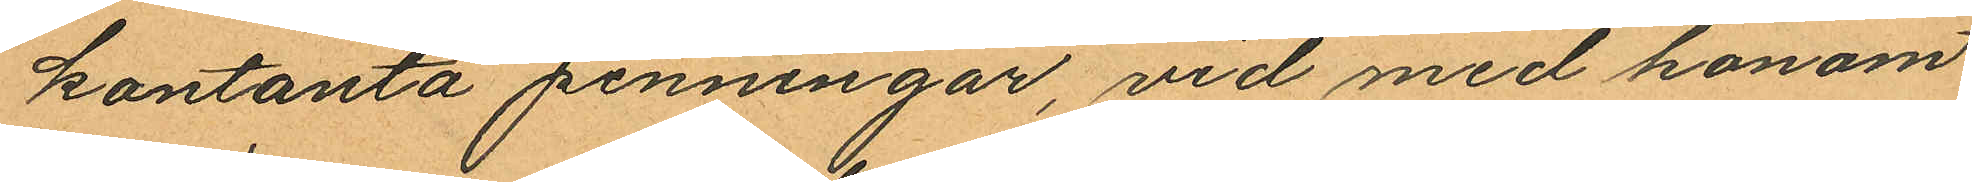kontanta penningar, vid med honom
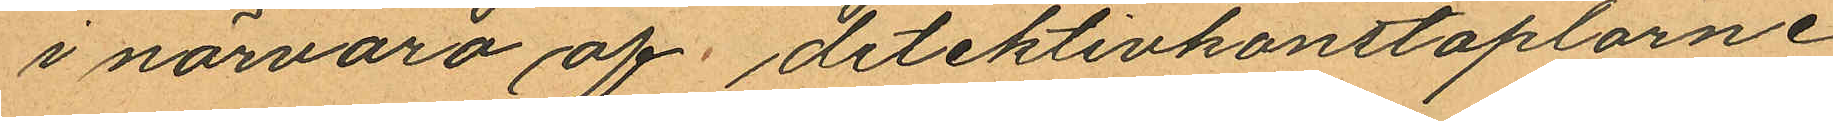i närvaro af detektivkonstaplarne
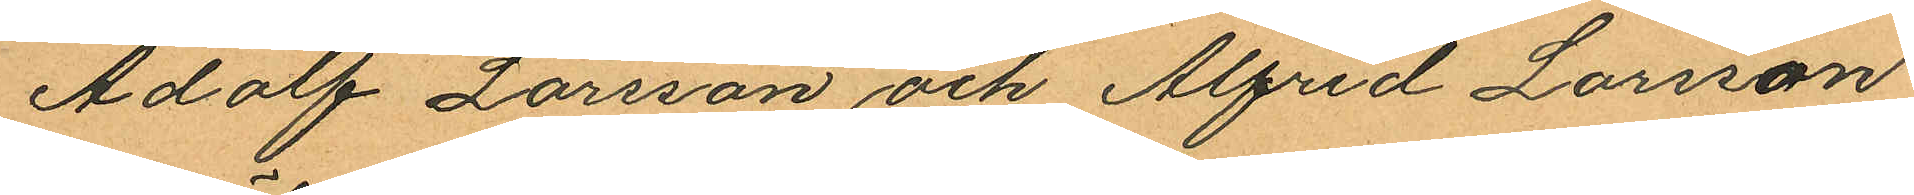Adolf Larsson och Alfred Larsson
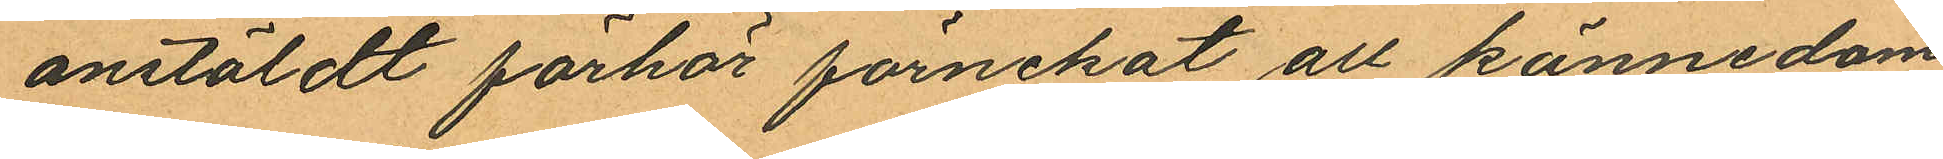anstäldt förhör förnekat all kännedom
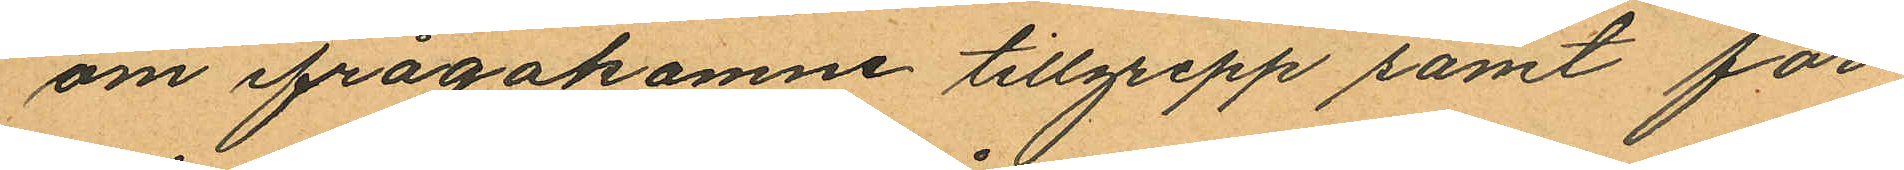om ifrågakomne tillgrepp samt för¬
